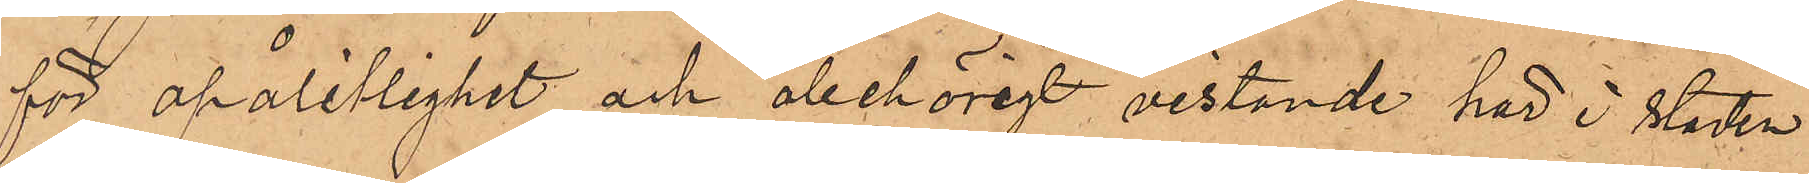för opålitlighet och obehörigt vistande här i staden
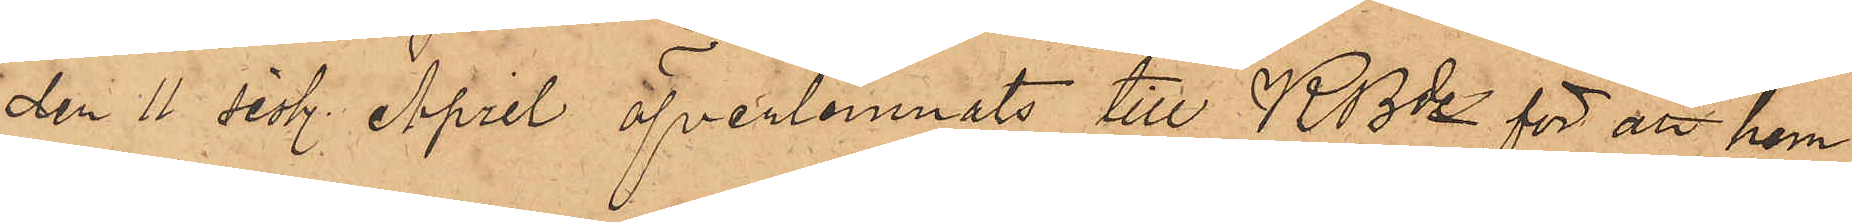den 11 sistl. April öfverlemnats till KBde för att hem¬
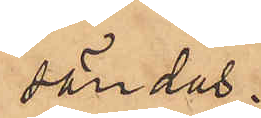sändas.
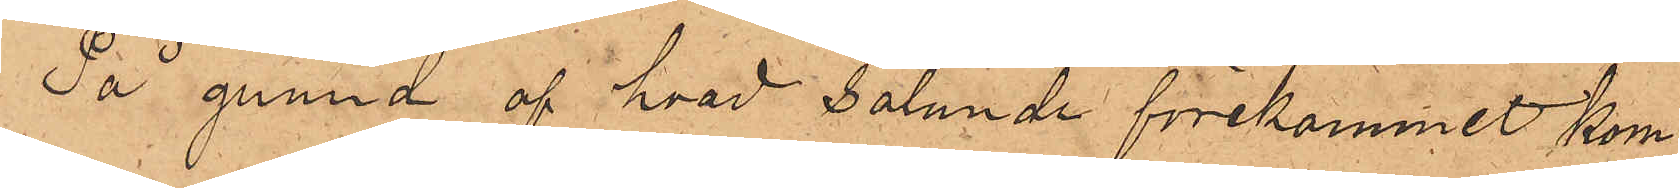På grund af hvad sålunda förekommit kom¬
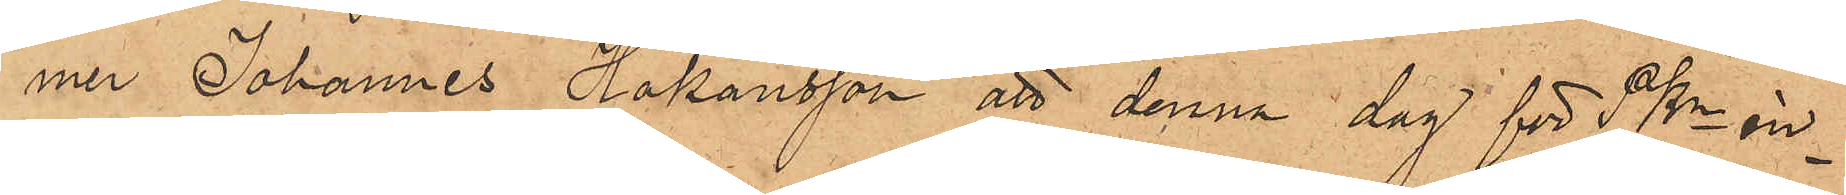mer Johannes Håkansson att denna dag för PKn in¬
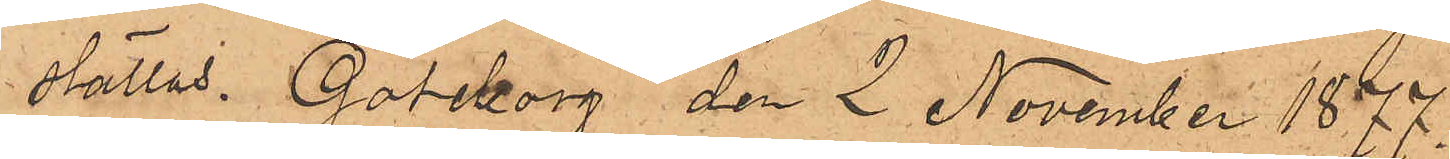ställas. Göteborg den 2 November 1877.
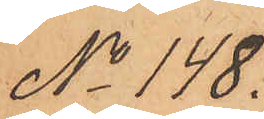No 148.
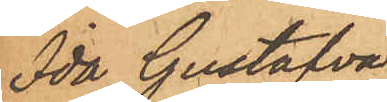Ida Gustafva
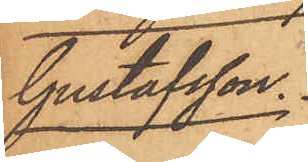Gustafsson.
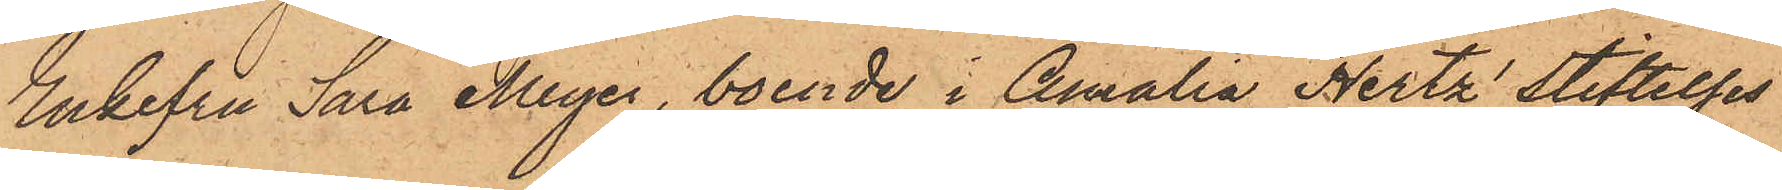Enkefru Sara Meyer, boende i Amalia Hertz' Stiftelses
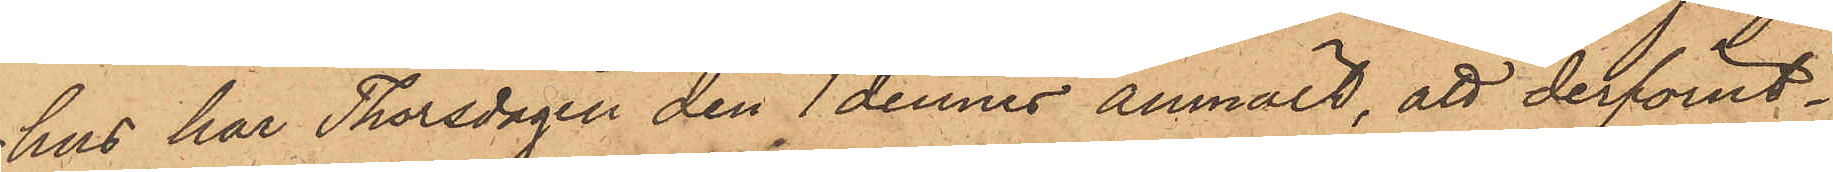hus har Thorsdagen den 1 dennes anmält, att derförut¬
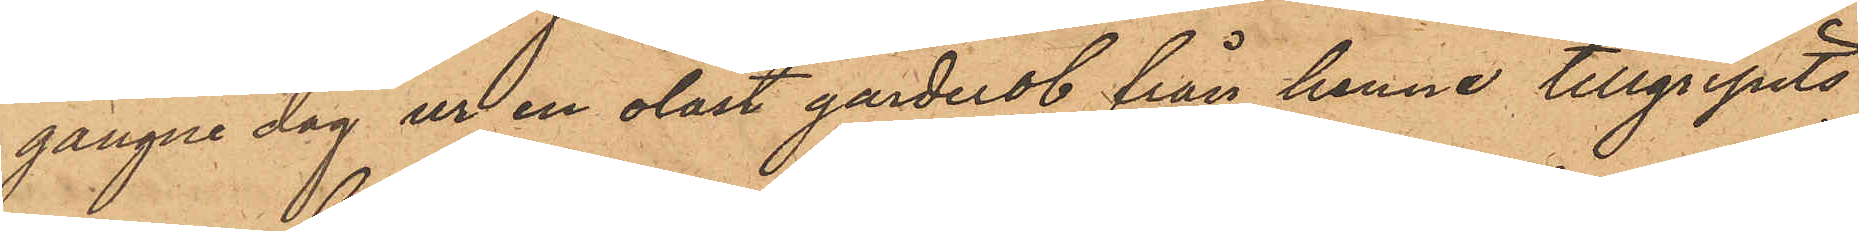gångne dag ur en olåst garderob från henne tillgripits
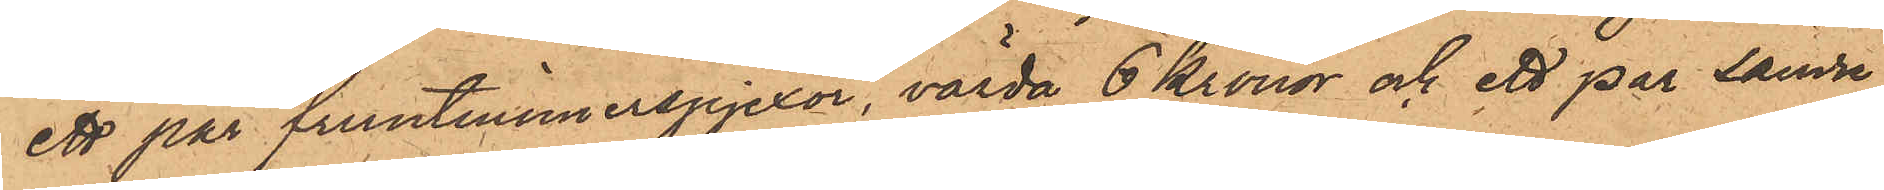ett par fruntimmerspjexor, värda 6 kronor och ett par sämre
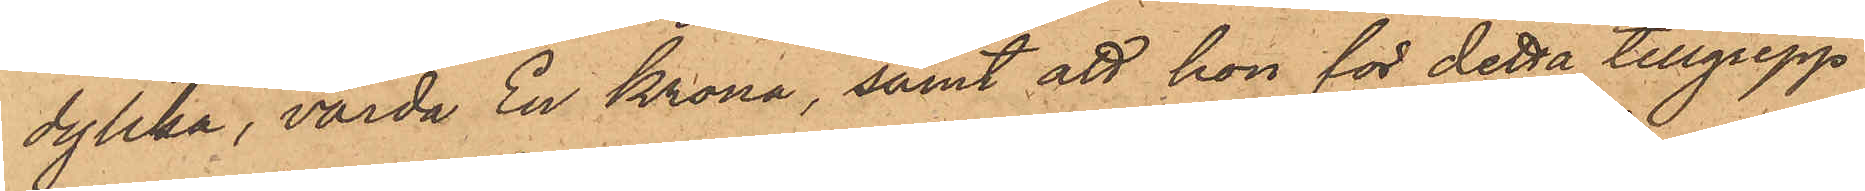dylika, värda En Krona, samt att hon för detta tillgrepp
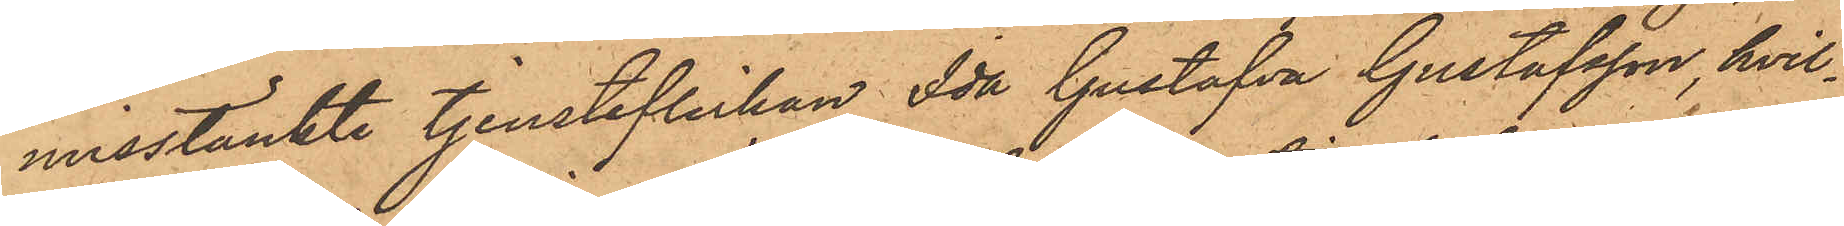misstänkte tjensteflickan Ida Gustafva Gustafsson, hvil¬
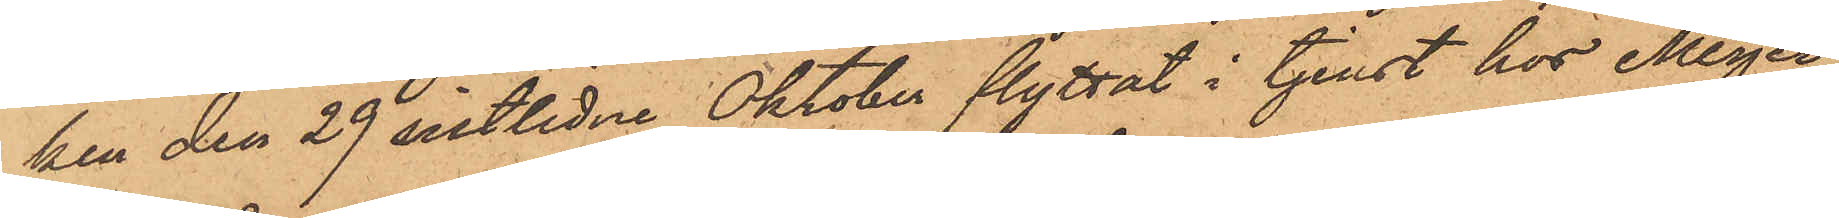ken den 29 sistlidne Oktober flyttat i tjenst hos Meyer,
